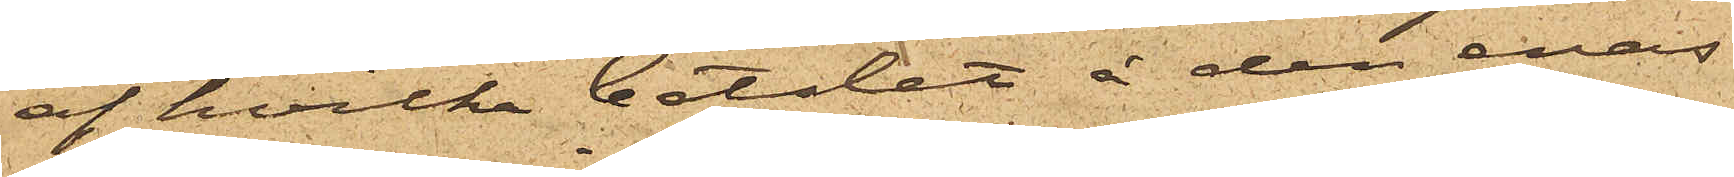af hvilka betslet å den enas
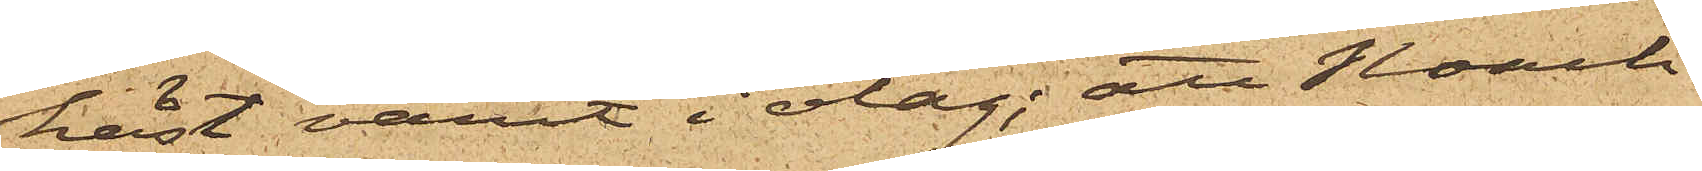häst varit i olag; att Noach
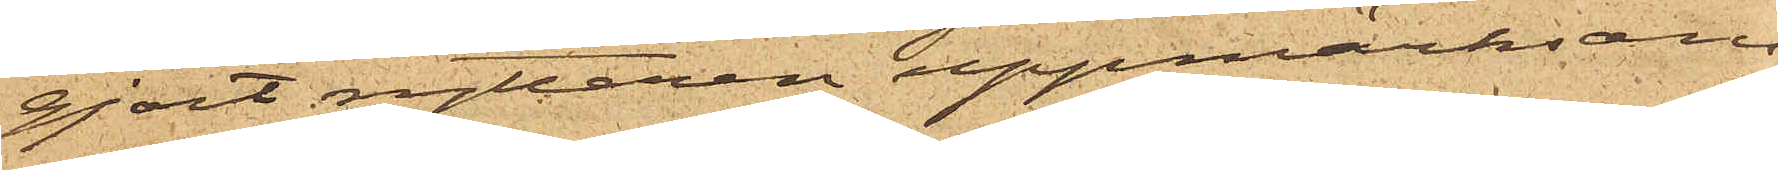gjort ryttaren uppmärksam
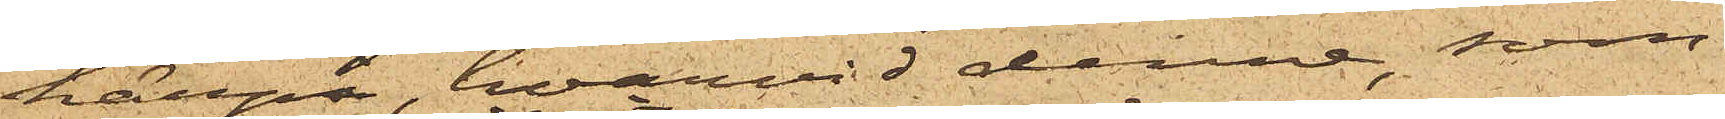härpå, hvarvid denne, som
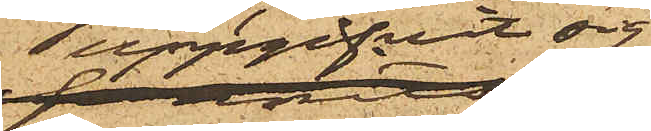uppgifvit sig
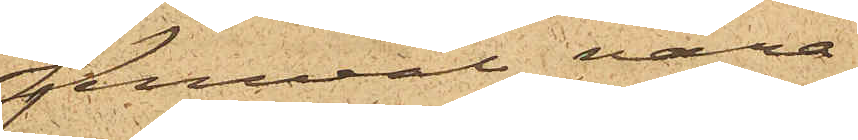jemväl vara
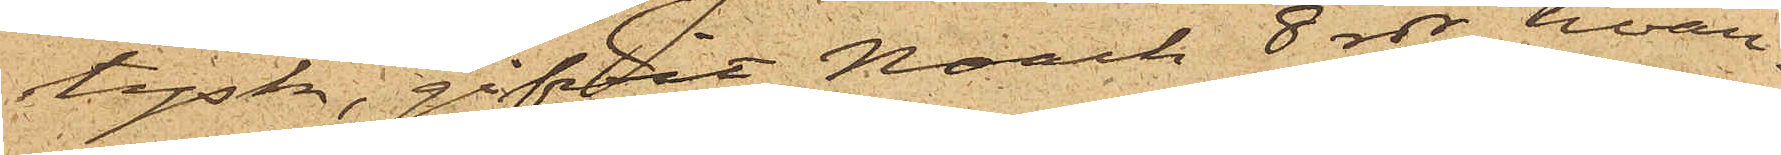tysk, gifvit Noach 8 rdr, hvar¬
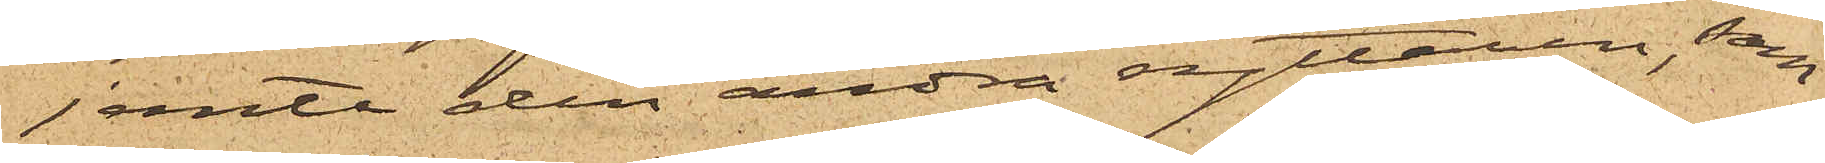jemte den andra ryttaren, som
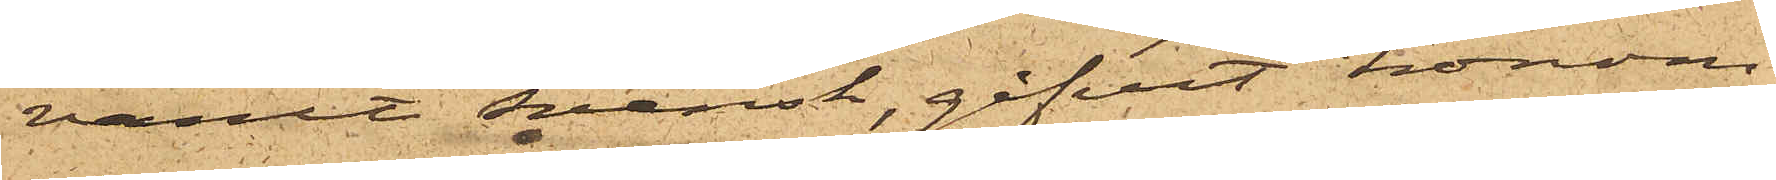varit Svensk, gifvit honom
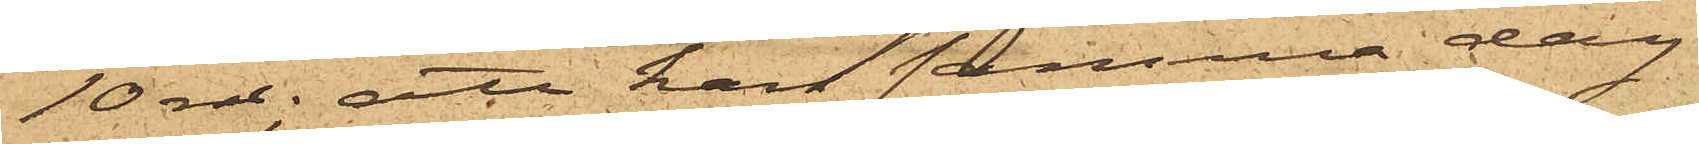10 rdr; att han samma dag
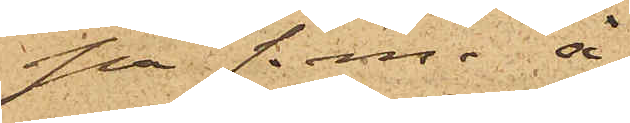på f. m. å
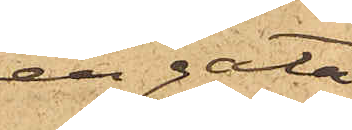en gata
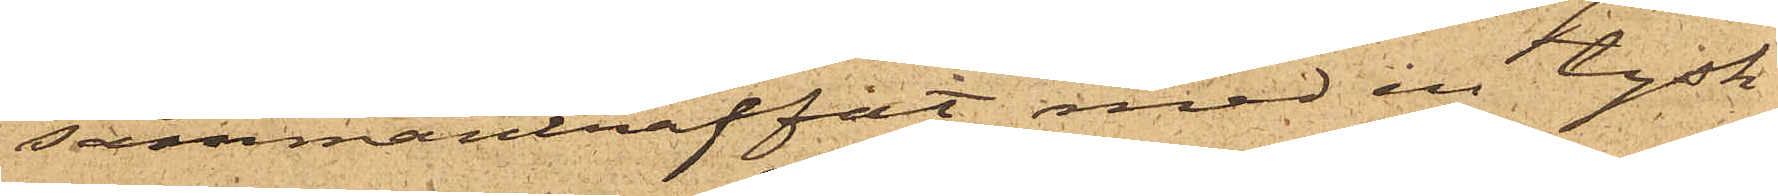sammanträffat med en tysk
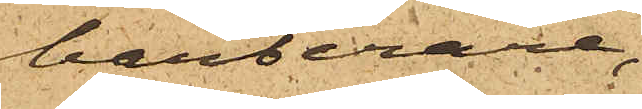barberare,
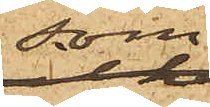som
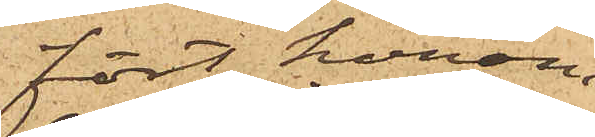fört honom
